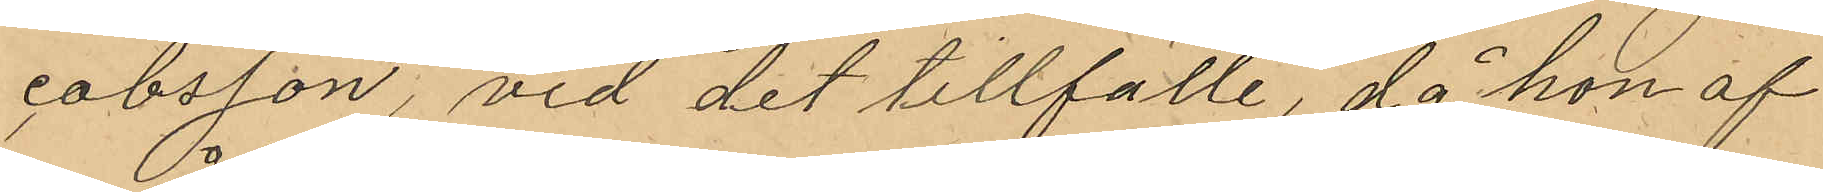cobsson, vid det tillfälle, då hon af
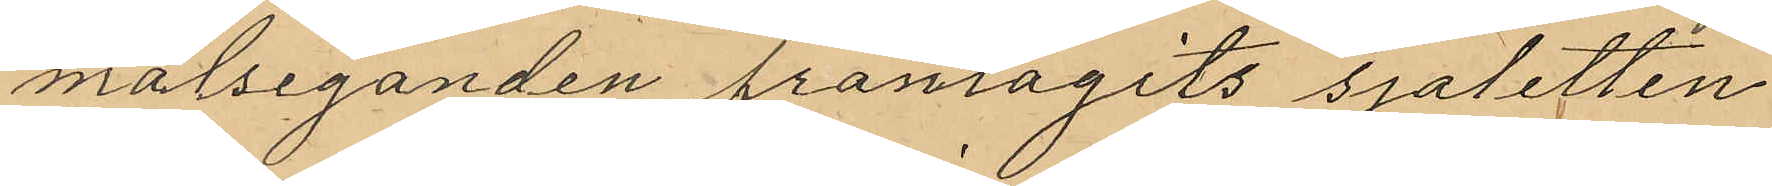målseganden frånagits sjaletten
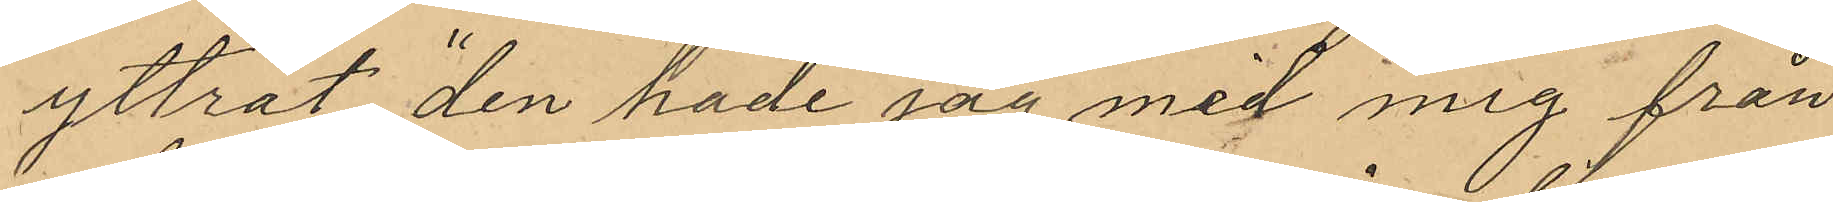yttrat "den hade jag med mig från
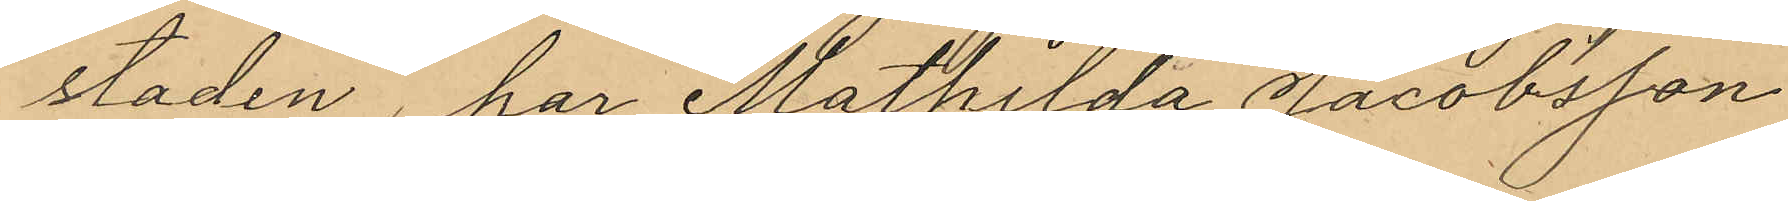staden", har Mathilda Jacobsson
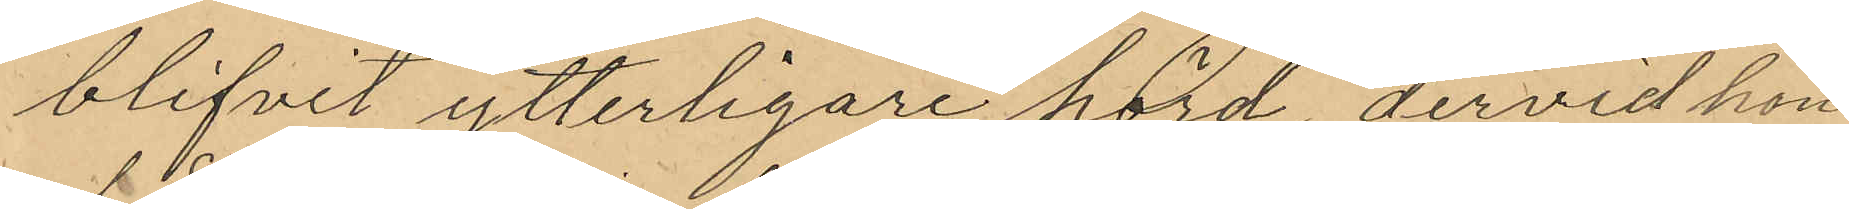blifvit ytterligare hörd dervid hon
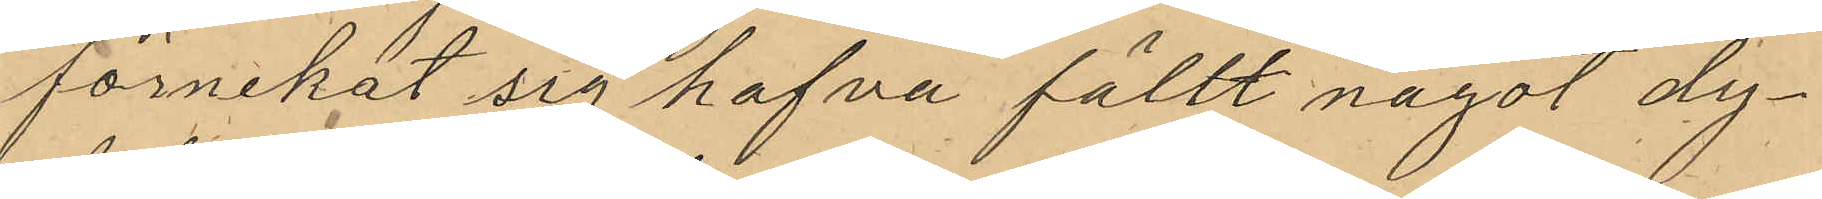förnekat sig hafva fällt något dy¬
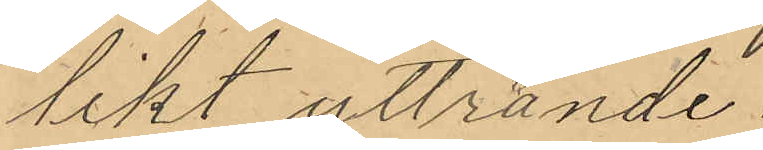likt yttrande.
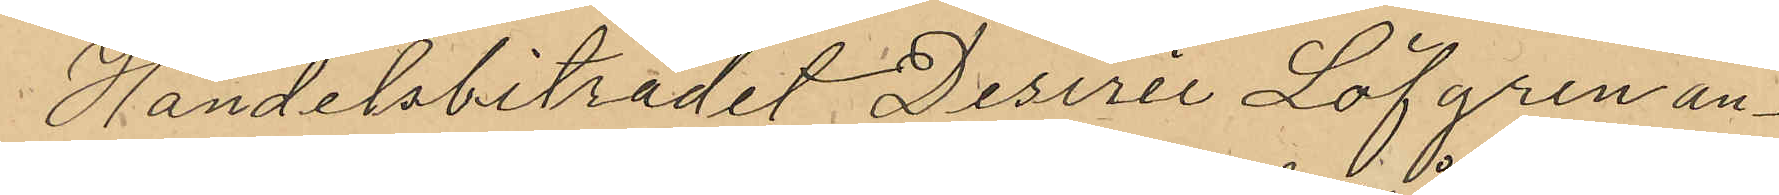Handelsbiträdet Desire Löfgren an¬
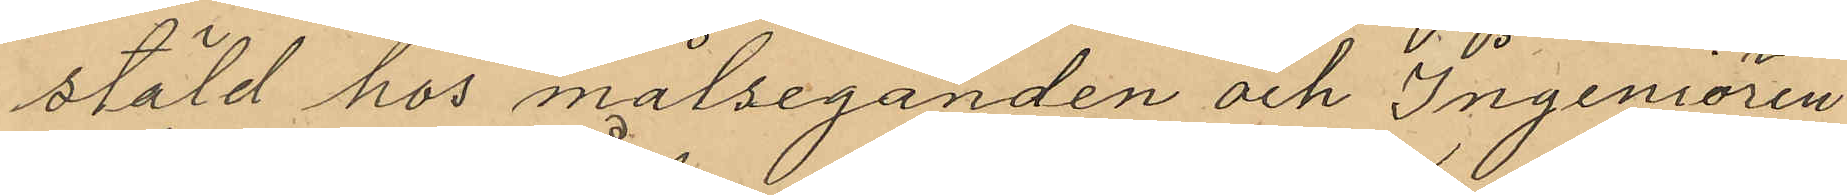stäld hos målseganden och Ingeniören
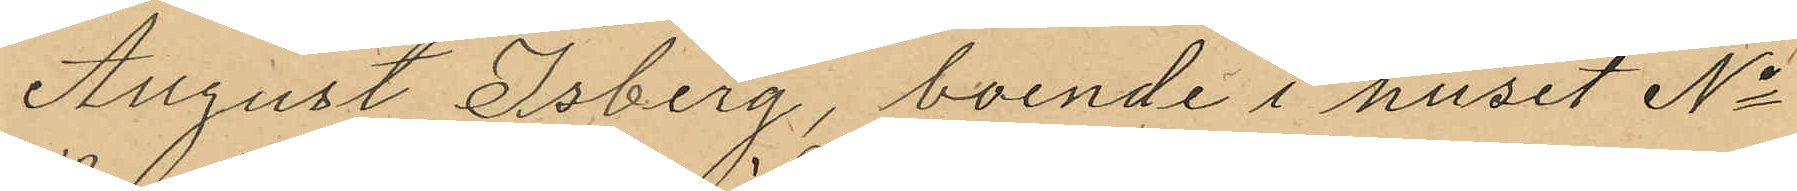August Åsberg, boende i huset No
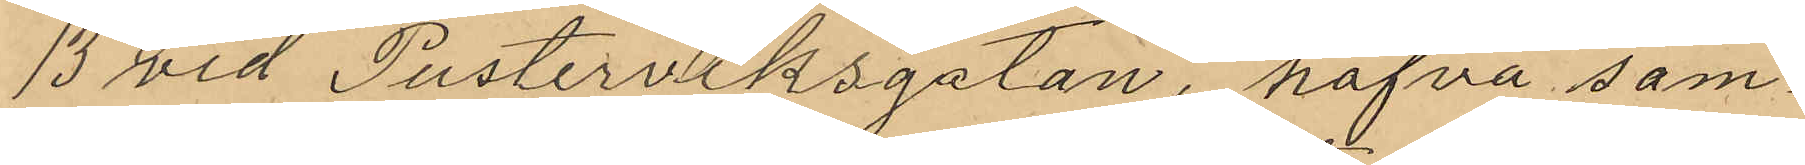13 vid Pusterviksgatan, hafva sam¬
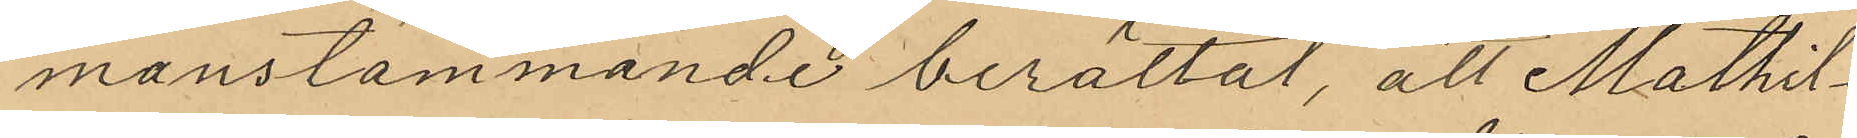manstämmande berättat, att Mathil¬
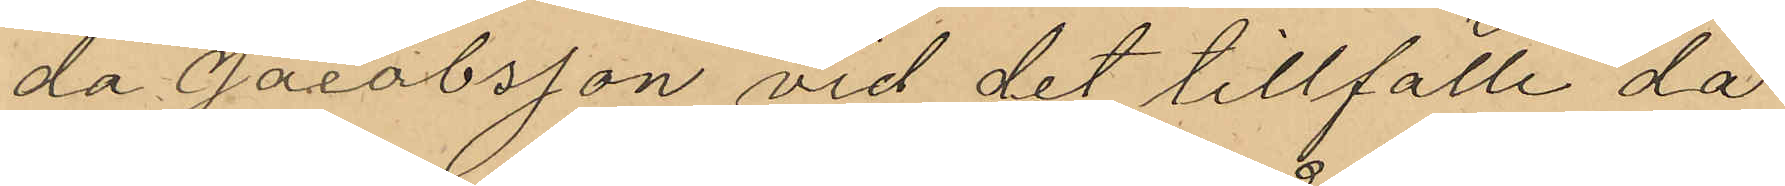da Jacobsson vid det tillfälle då
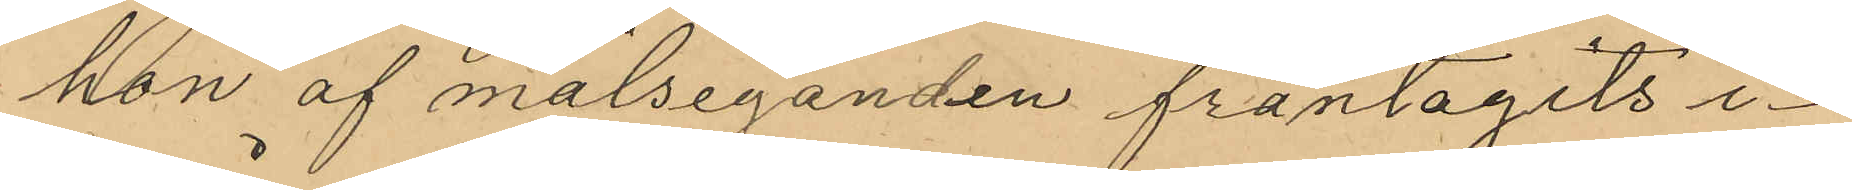hon af målseganden fråntagits i¬
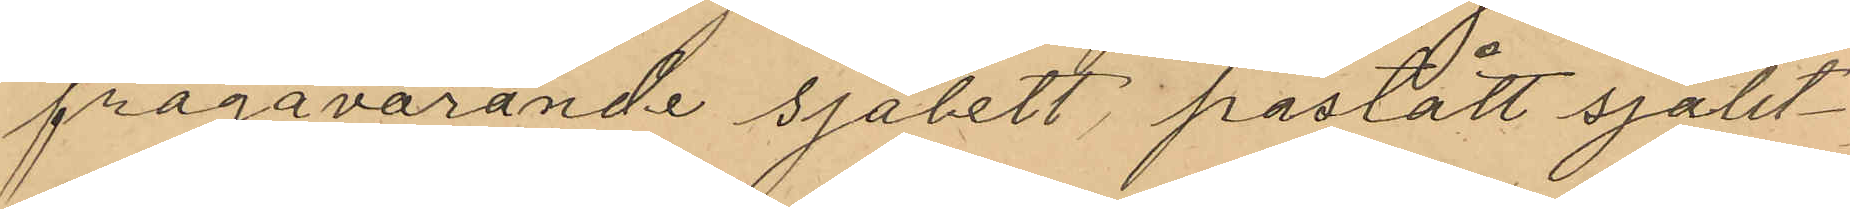frågavarande sjalett, påstått sjalet¬
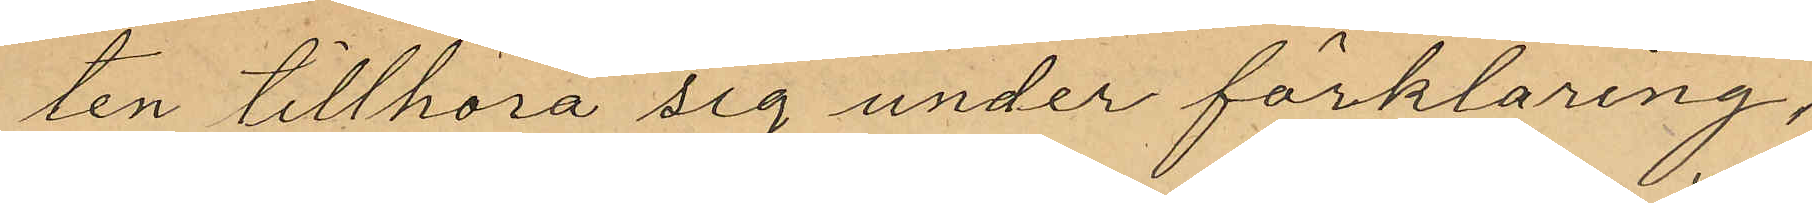ten tillhöra sig under förklaring,
